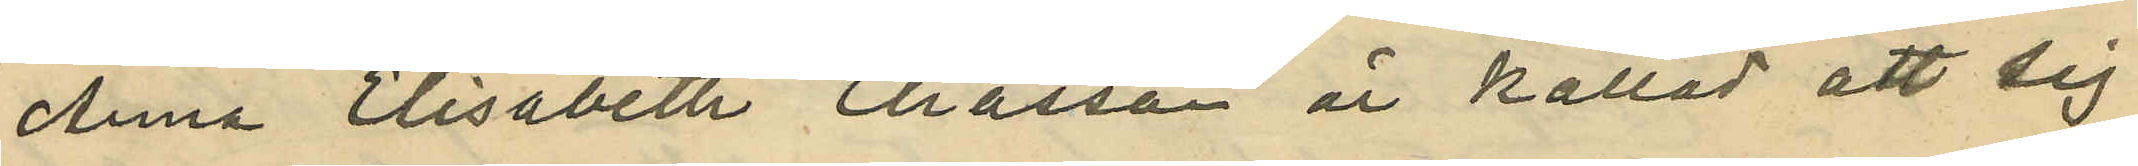Anna Elisabeth Eliasson är kallad att sig
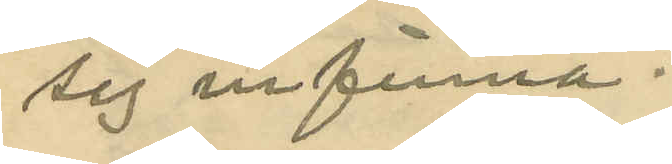sig infinna.
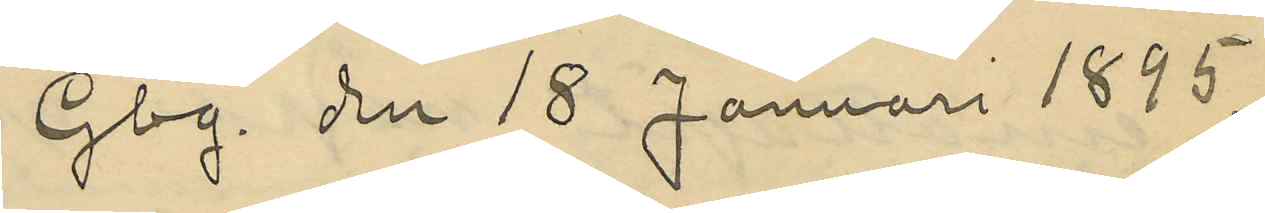Gbg. den 18 Januari 1895.
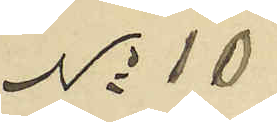No 10
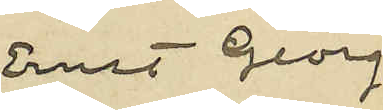Ernst Georg
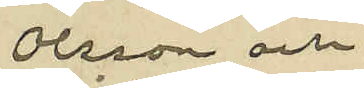Olsson och
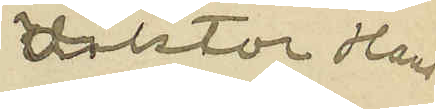Viktor Hans¬
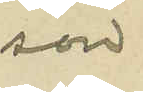son
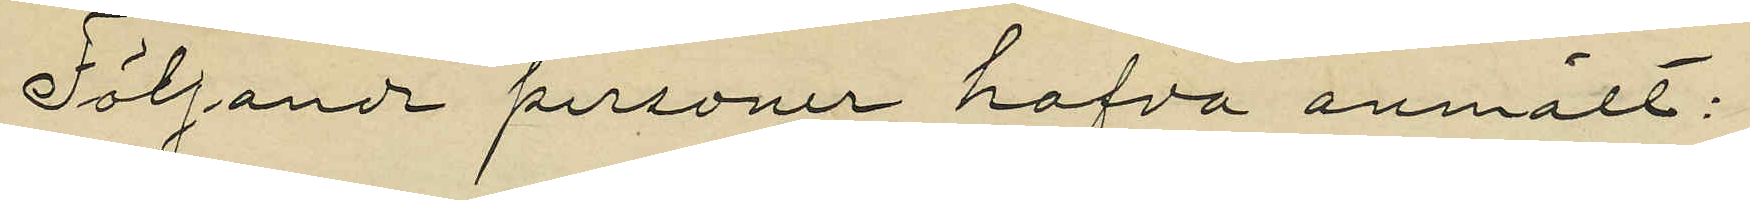Följande personer hafva anmält:
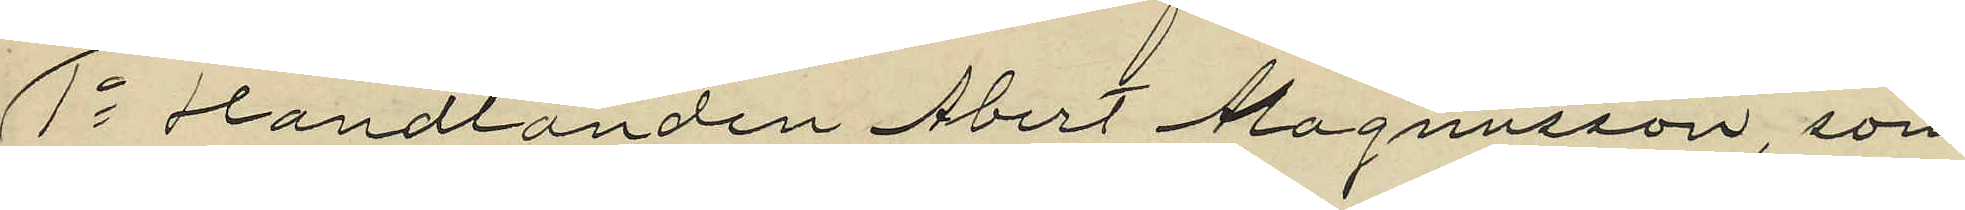1o Handlanden Abert Magnusson, som
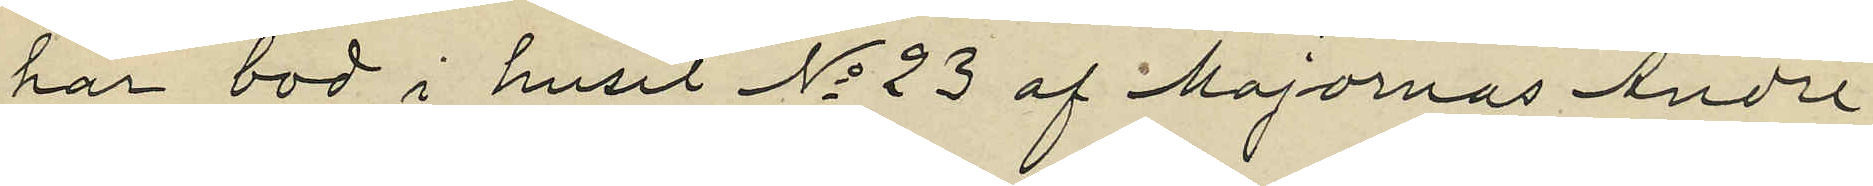har bod i huset No 23 af Majornas Andre
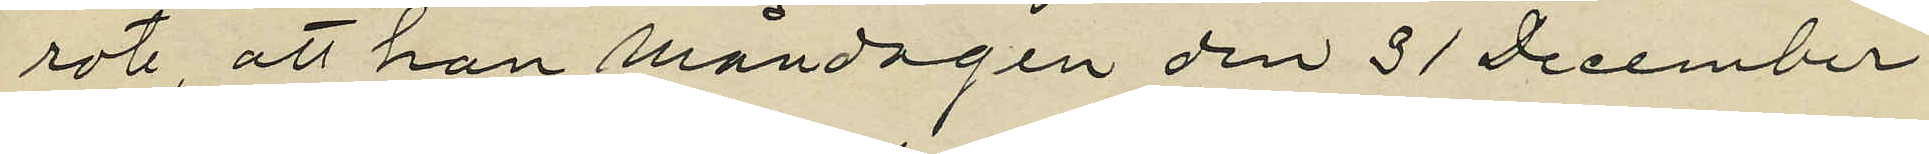rote, att han måndagen den 31 December
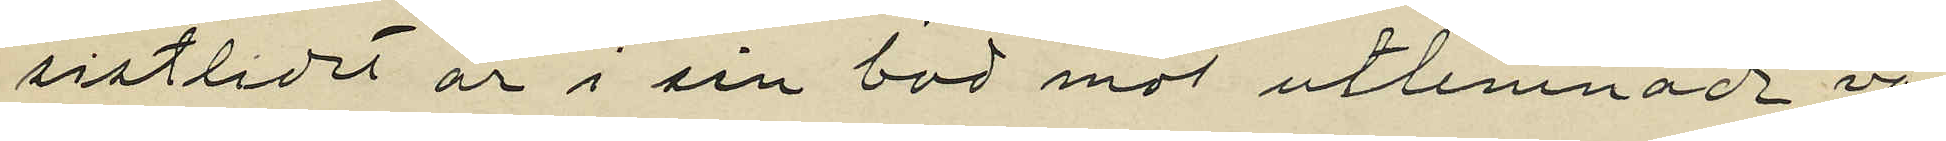sistlidet år i sin bod mot utlemnade va¬
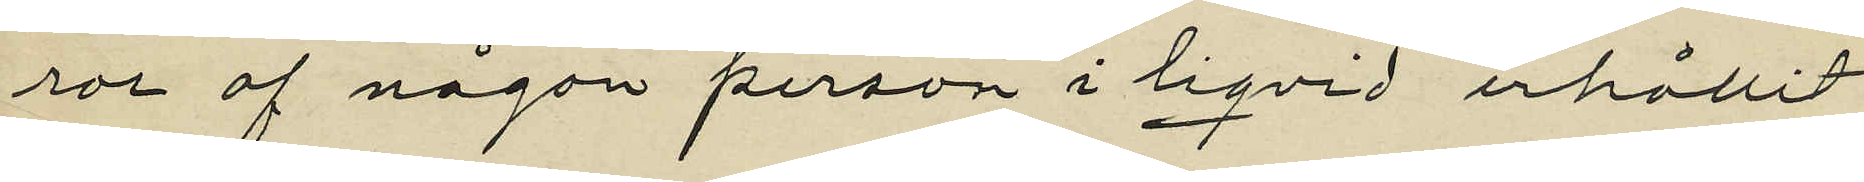ror af någon person i liqvid erhållit
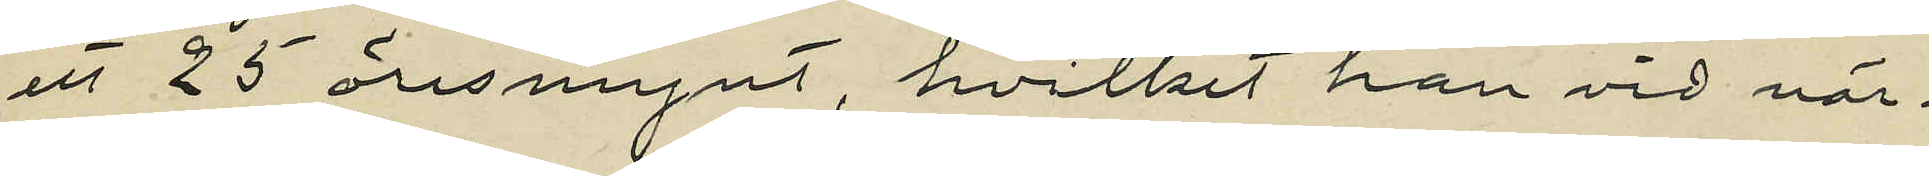ett 25 öresmynt, hvilket han vid när¬
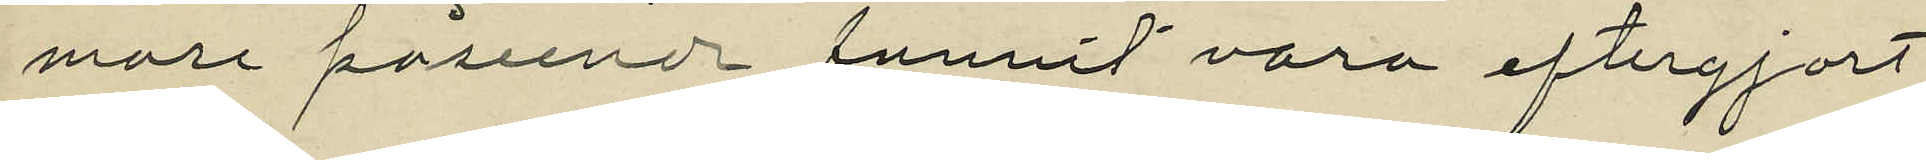mare påseende funnit vara eftergjort
